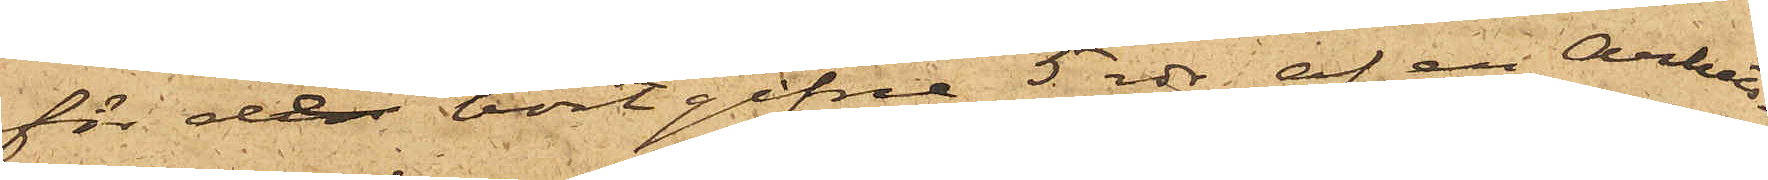för de bortgifne 5 rdr af en Arbets¬
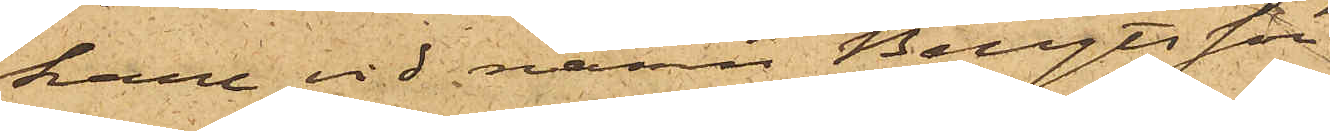karl vid namn Bengtsson
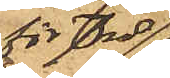för 7 rdr
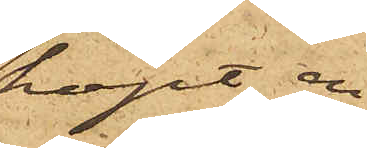köpt en
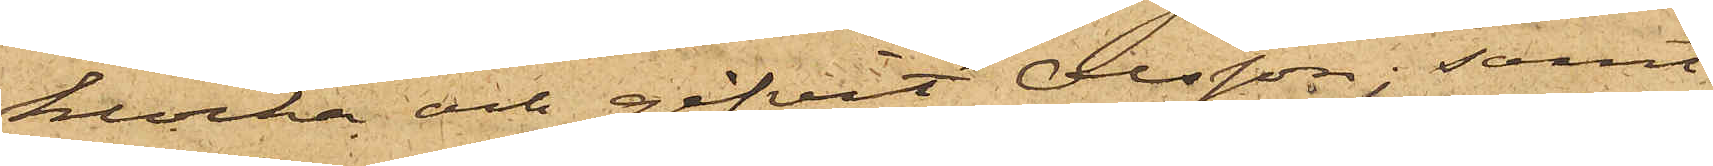klocka och gifvit Olsson; samt
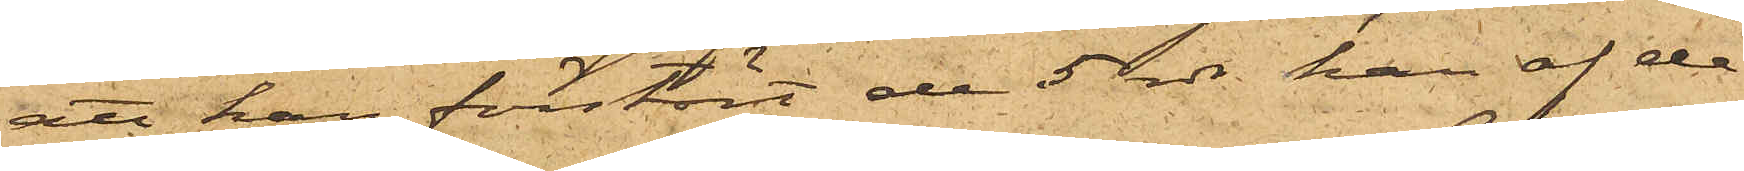att han förstört de 5 rdr han af de
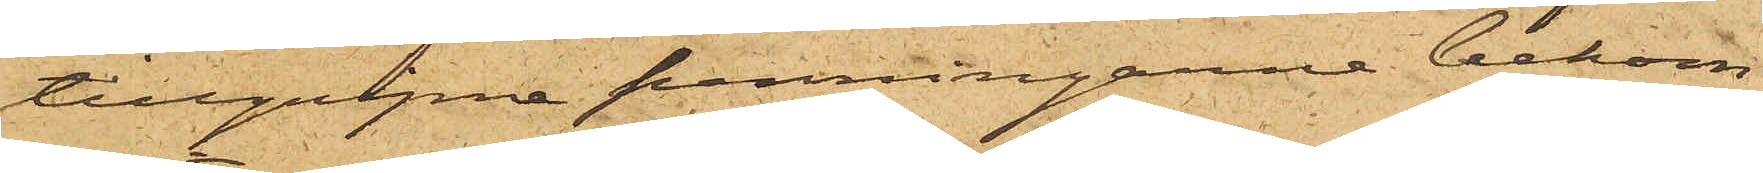tillgripne penningarne bekom¬
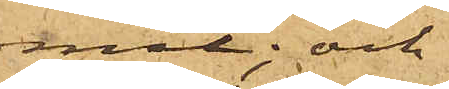mit; och
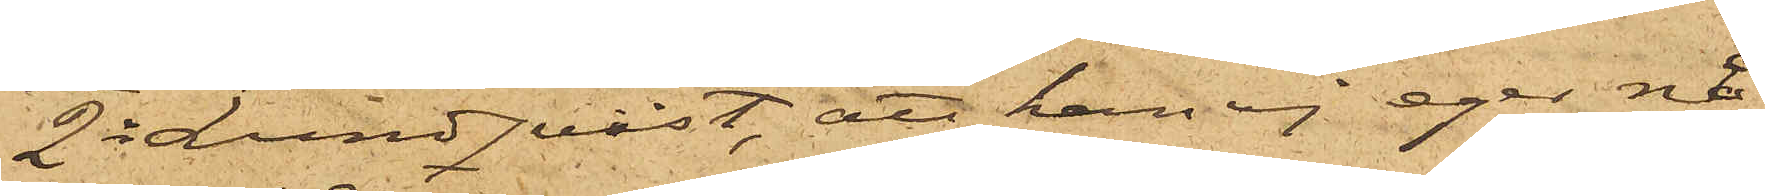2o Lundqvist, att han ej eger nå¬
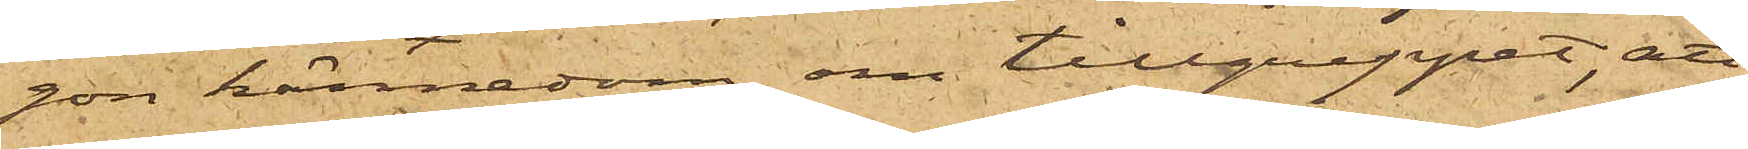gon kännedom om tillgreppet, att
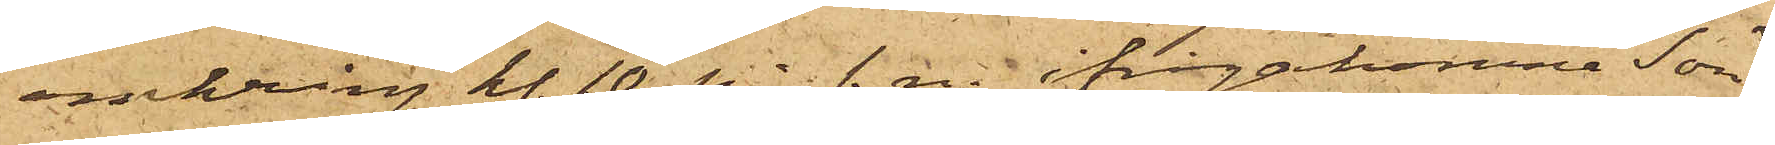omkring kl. 10 på f. m. ifrågakomne Sön¬
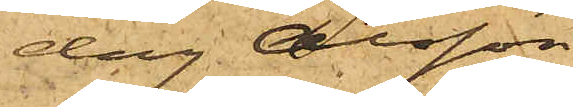dag Olsson
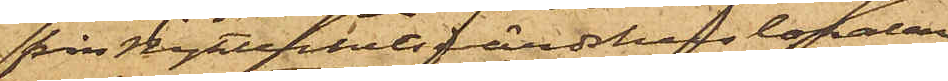från Nykterhetsvärdshuslokalen
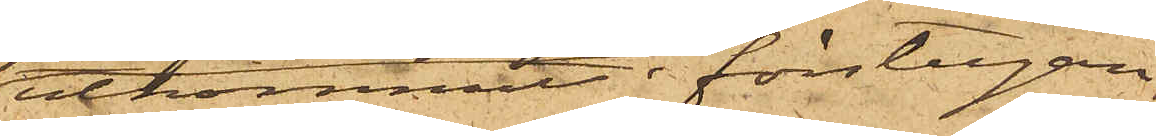utkommit i förstugan,
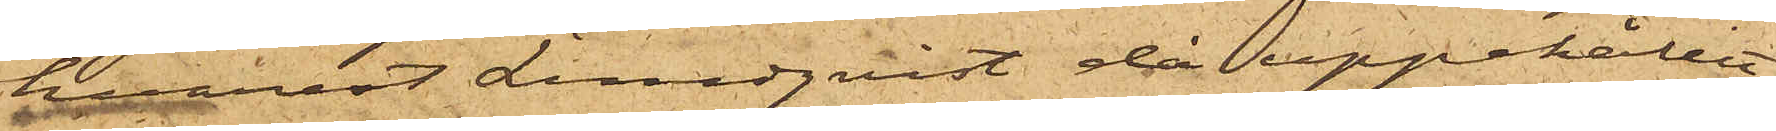hvarest Lundqvist då uppehållit,
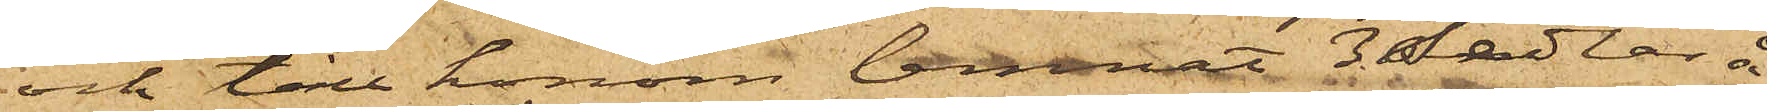och till honom lemnat sedlar å
